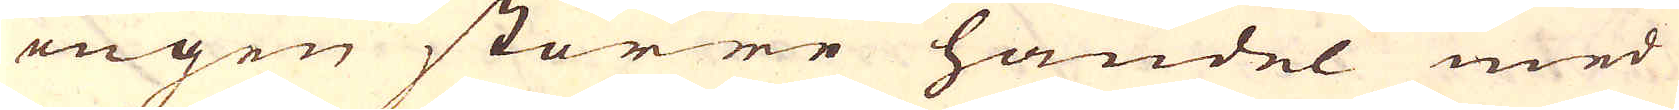ingen större handel med
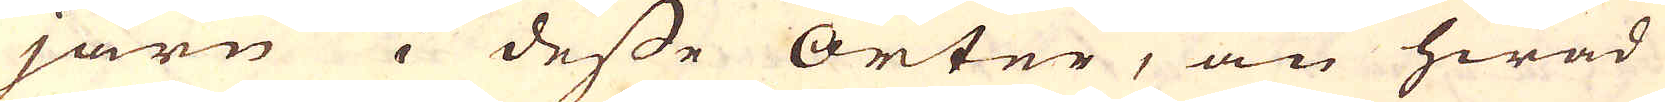järn i desse orter, än hwad
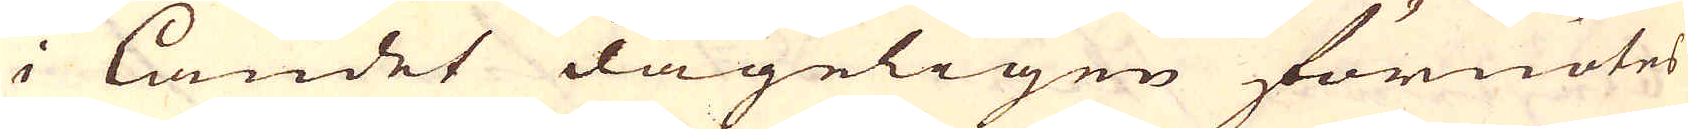i landet dageligen förnötes
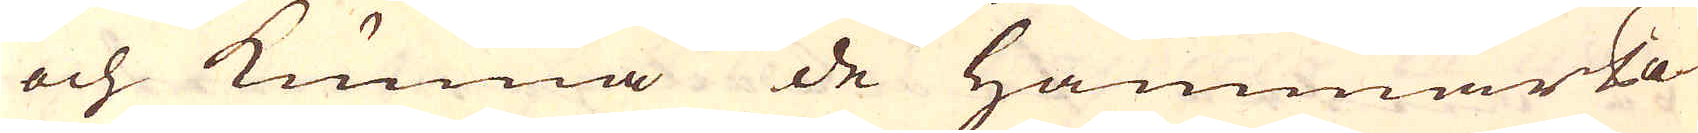och kunna de hammarPa-
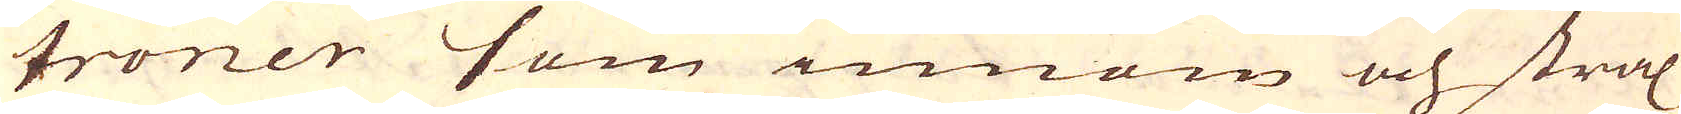troner som innom och strax
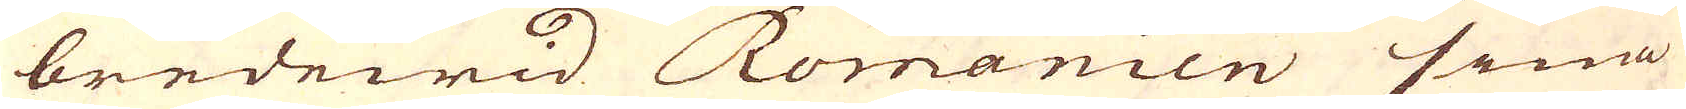bredewid Romanien sina
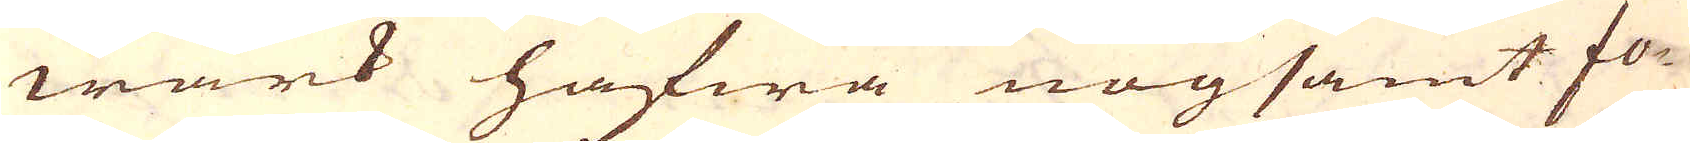wärk hafwa nogsamt fo-
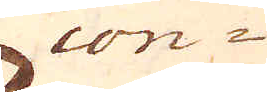con-
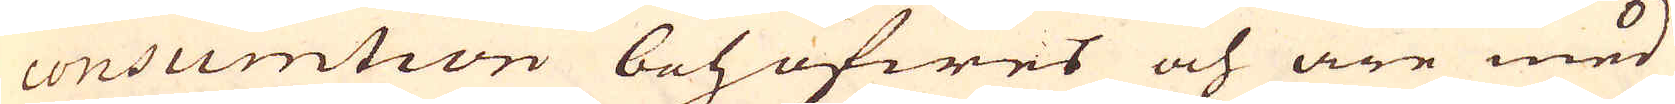consumtion behöfwes och äre med
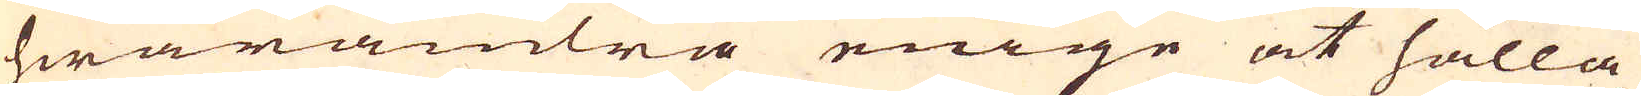hwarandra enige at hålla
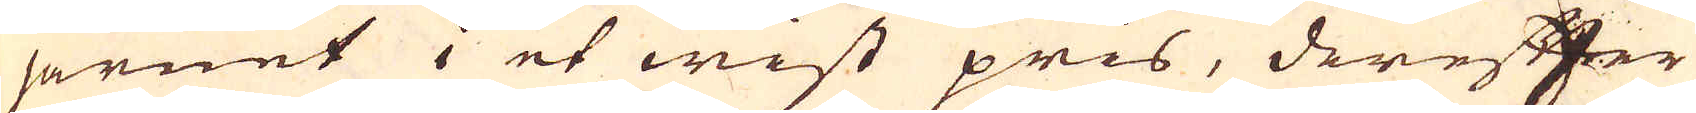järnet i et wist pris, derefter
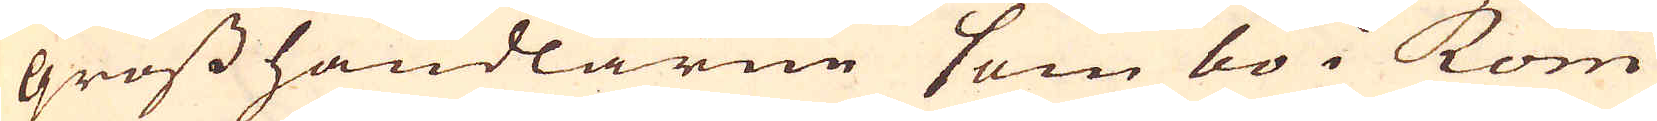gross handlarne som bo i Rom
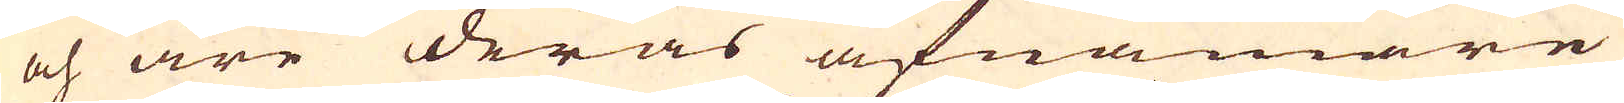och äre deras afnämare
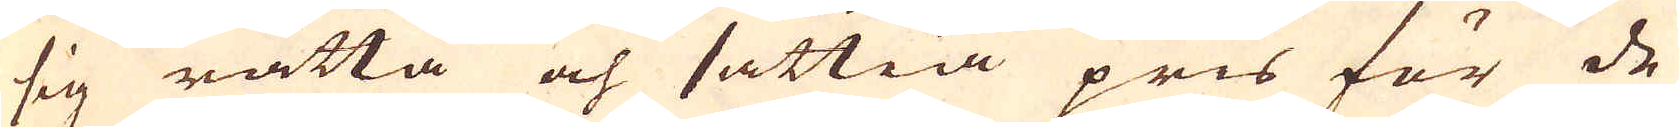sig rätta och sättia pris för de
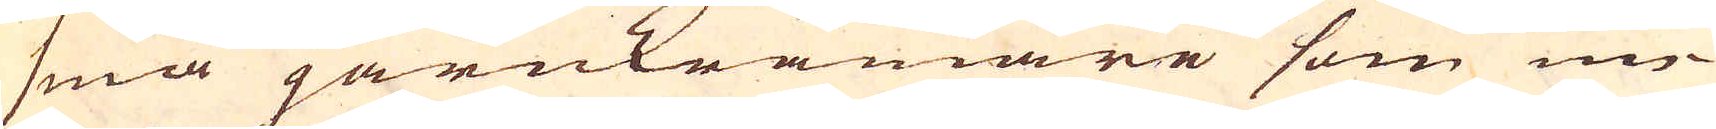små järnkrämare som un-
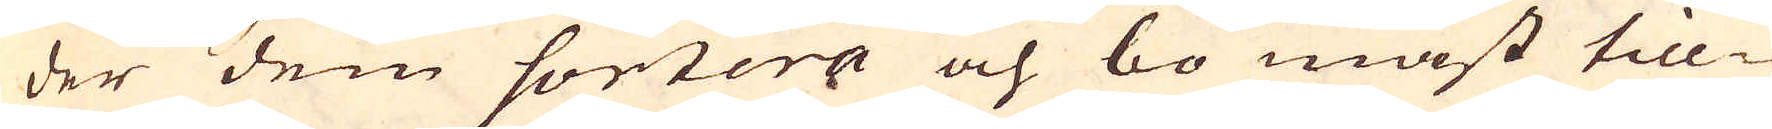der dem sortera och bo mäst till-
